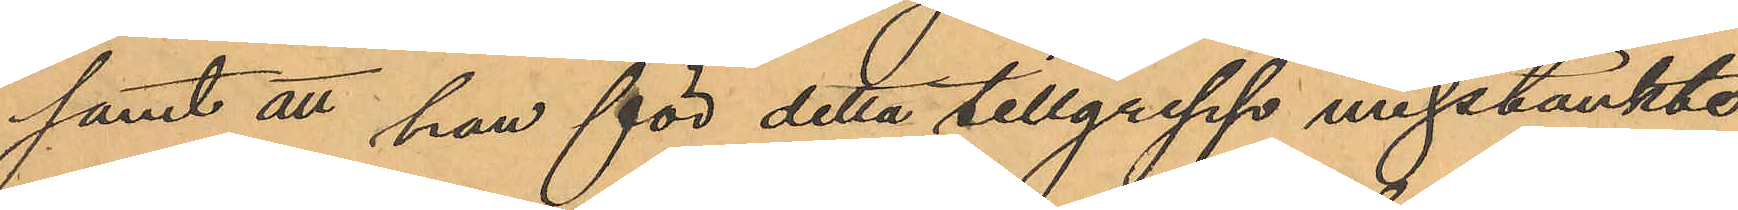samt att han för detta tillgrepp misstänkte
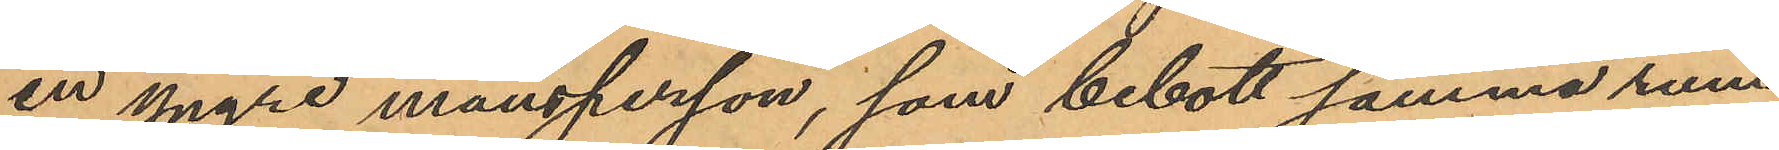en yngre mansperson, som bebott samma rum
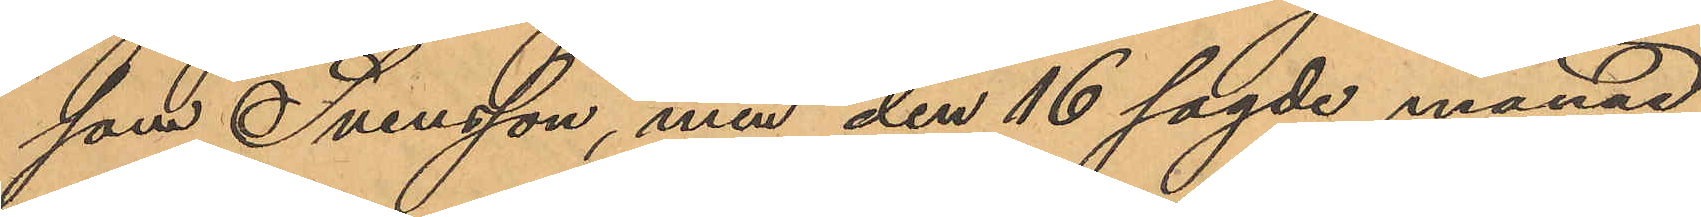som Svensson, men den 16 sagde månad
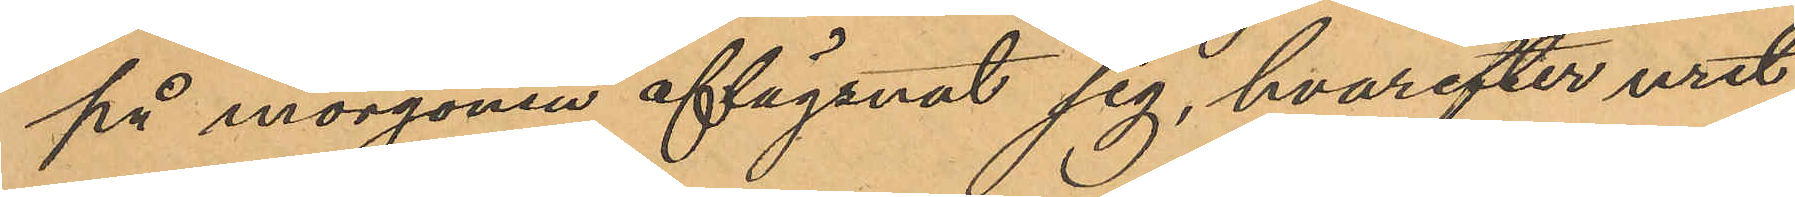på morgonen aflägsnat sig, hvarefter uret
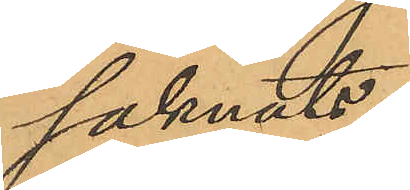saknats.
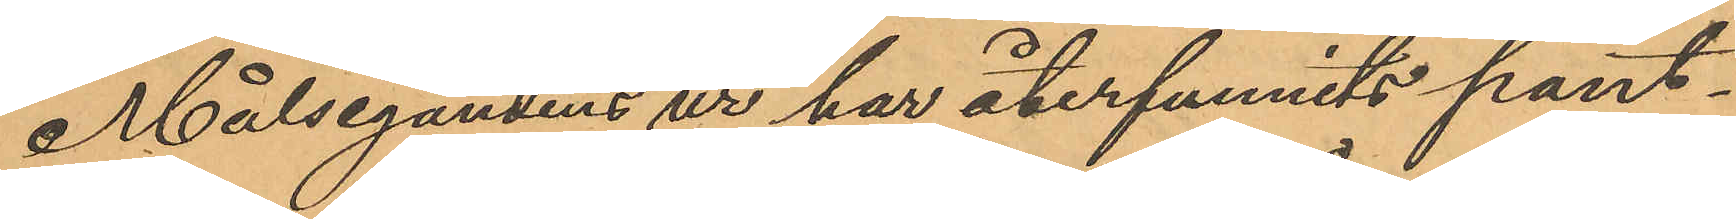Målsegandens ur har återfunnits pant¬
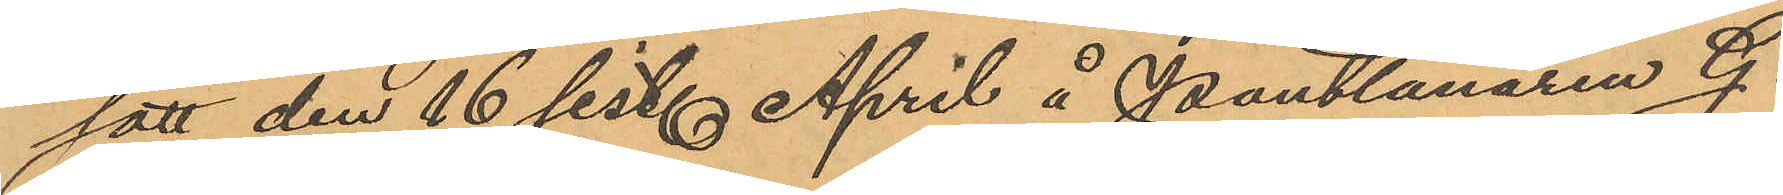satt den 16 sist. April å Pantlånaren G.
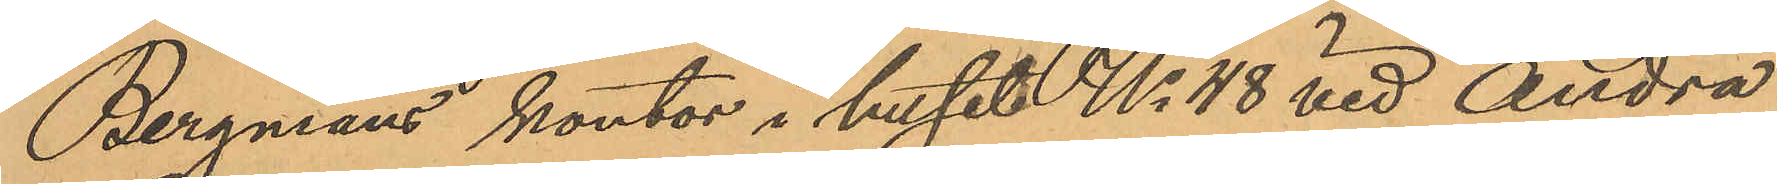Bergmans kontor i huset No 48 vid Andra
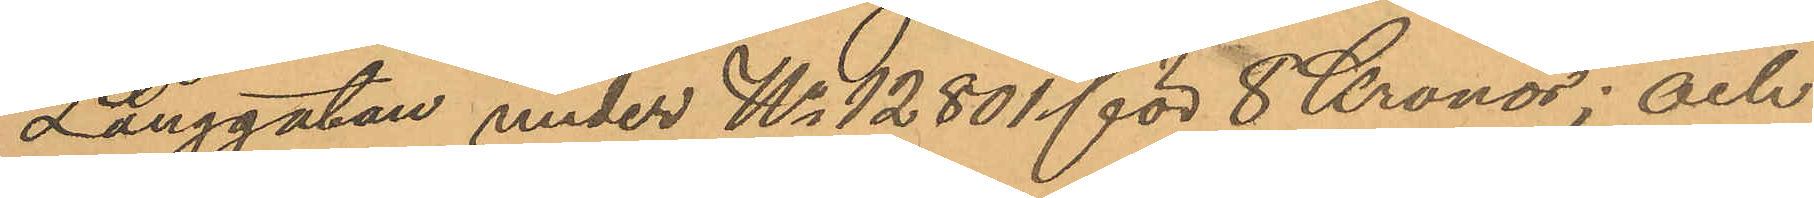Långgatan under No 12801 för 8 Kronor; och
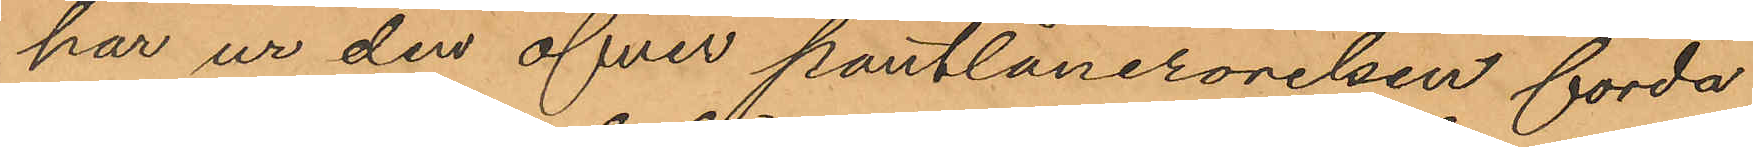har ur den öfver pantlånerörelsen förda
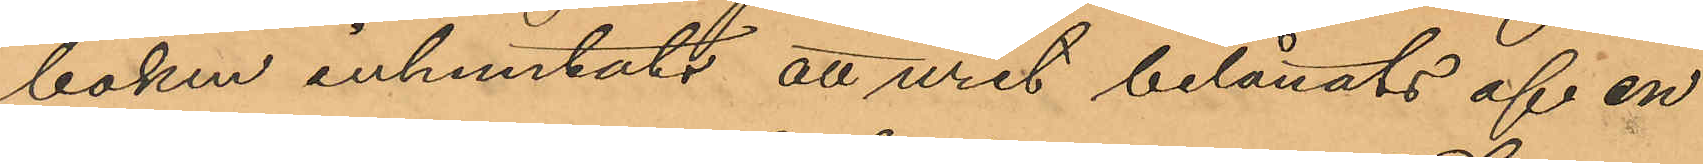boken inhemtats att uret belånats af en
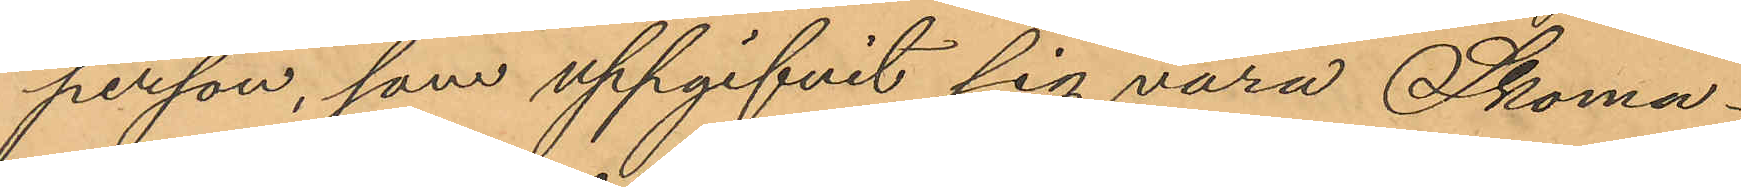person, som uppgifvit sig vara Skoma¬
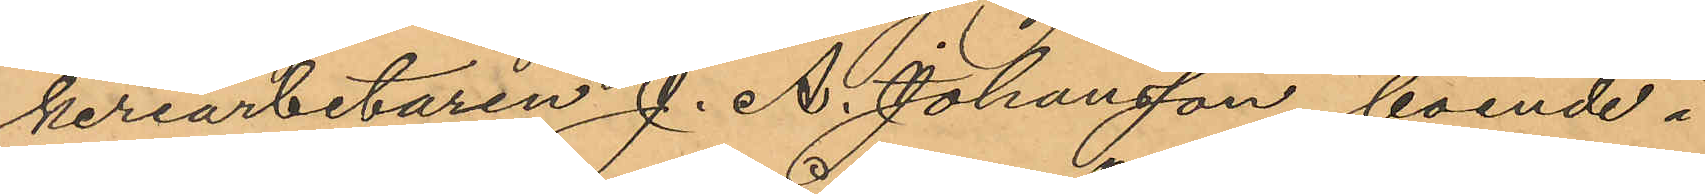keriarbetaren J. A. Johansson, boende i
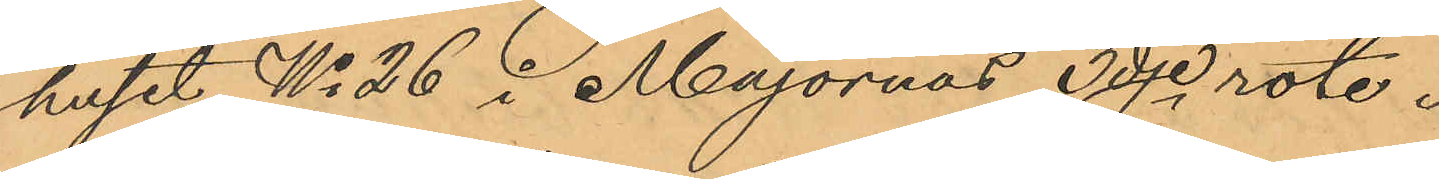huset No 26 i Majornas 3dje rote.
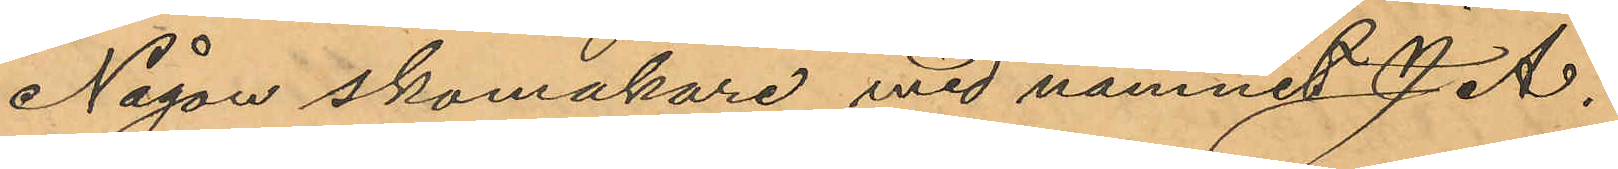Någon skomakare med namnet J. A.
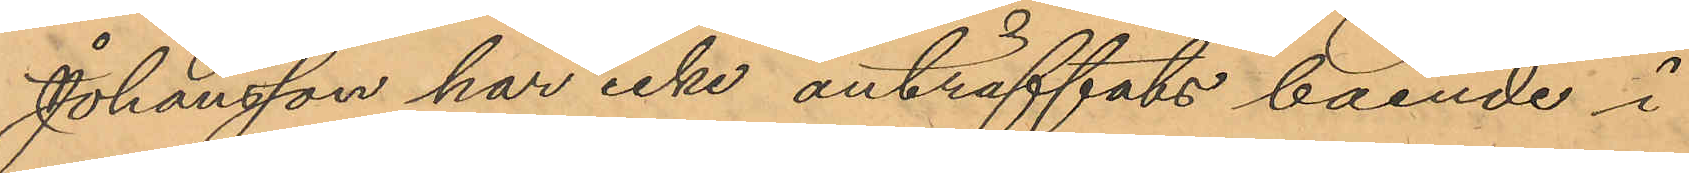Johansson har icke anträffats boende i
